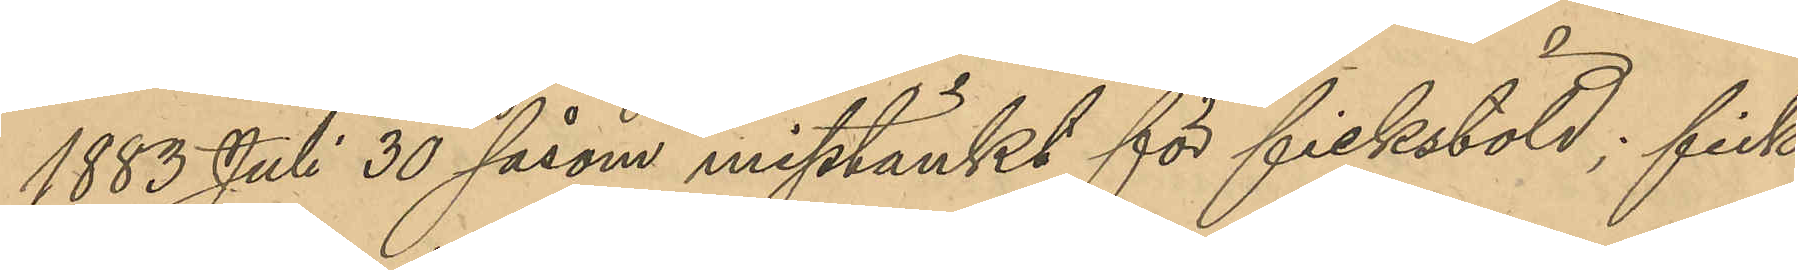1883 Juli 30 såsom misstänkt för fickstöld; fick
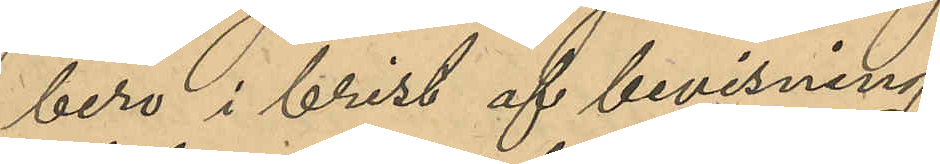bero i brist af bevisning;
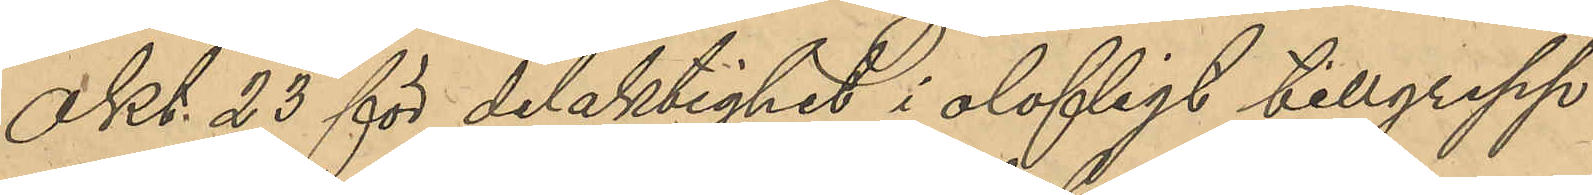" Okt. 23 för delaktighet i olofligt tillgrepp
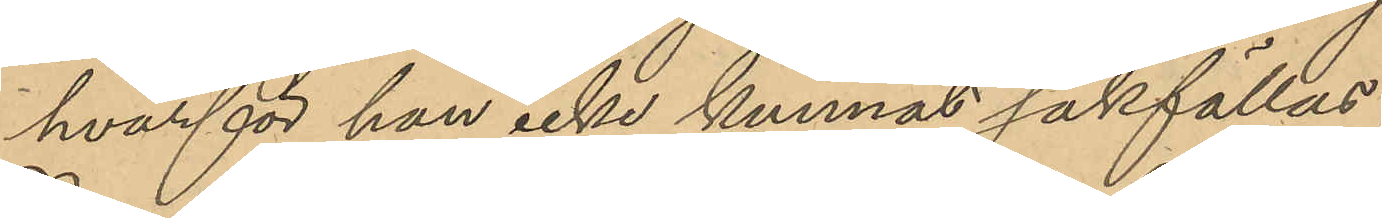hvarför han icke kunnat sakställas;
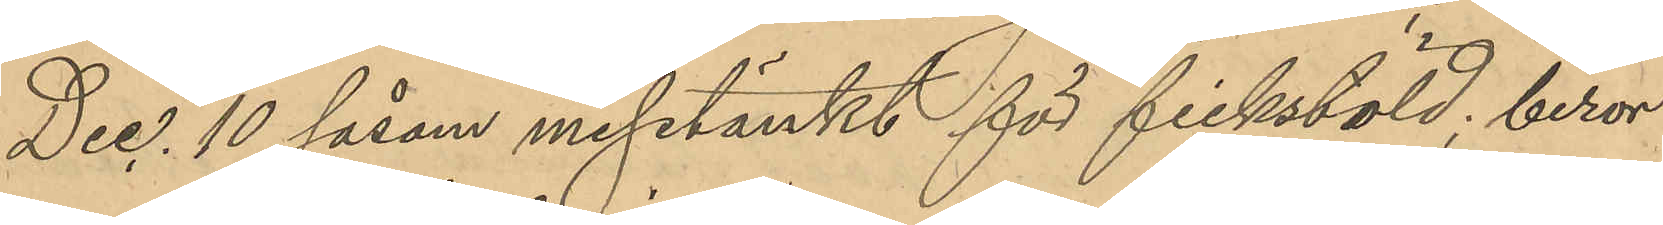" Dec. 10 såsom misstänkt för fickstöld, beror
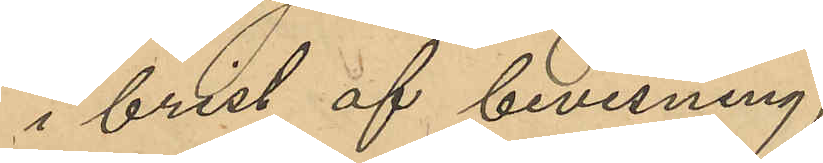i brist af bevisning;
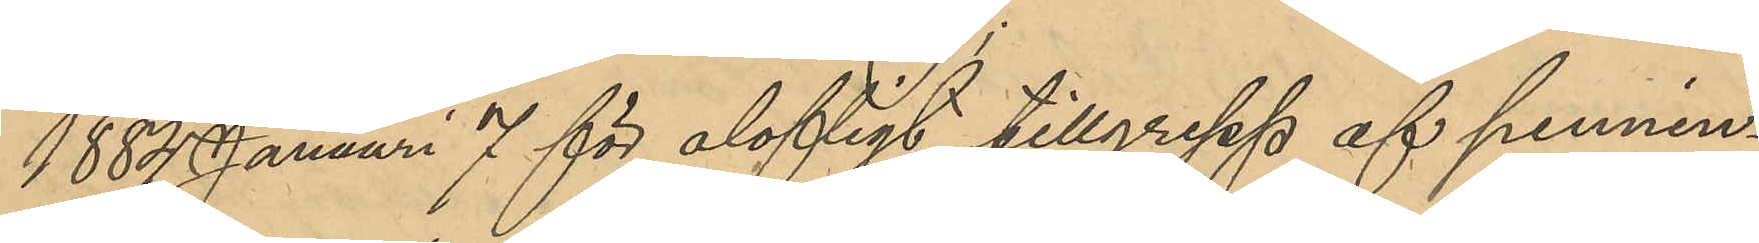1884 Januari 7 för olofligt tillgrepp af pennin¬
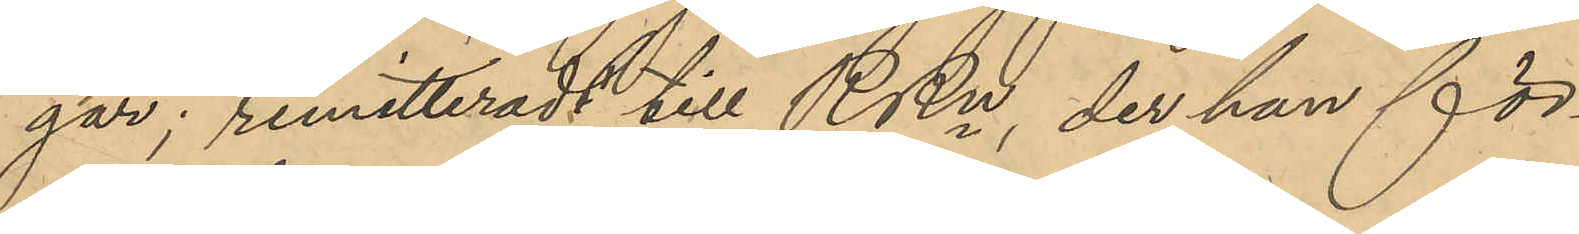gar remitteradts till RRn, der han för¬
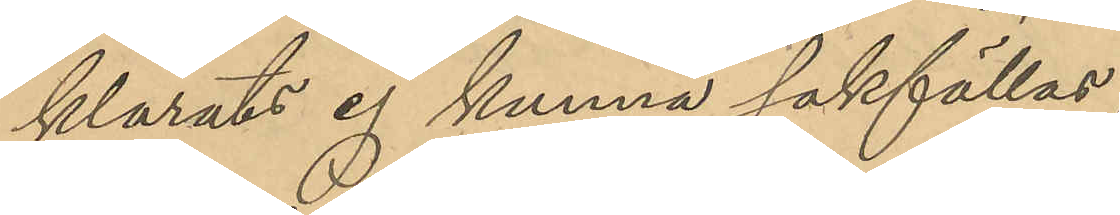klarats ej kunna sakfällas;
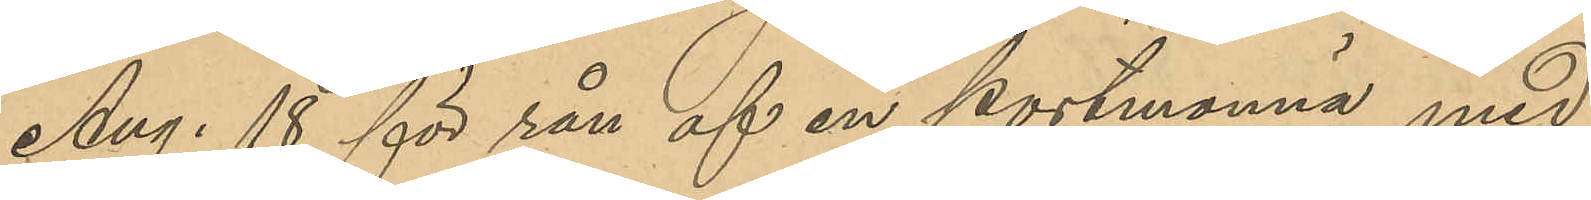" Aug. 18 för rån af en portmonnä med
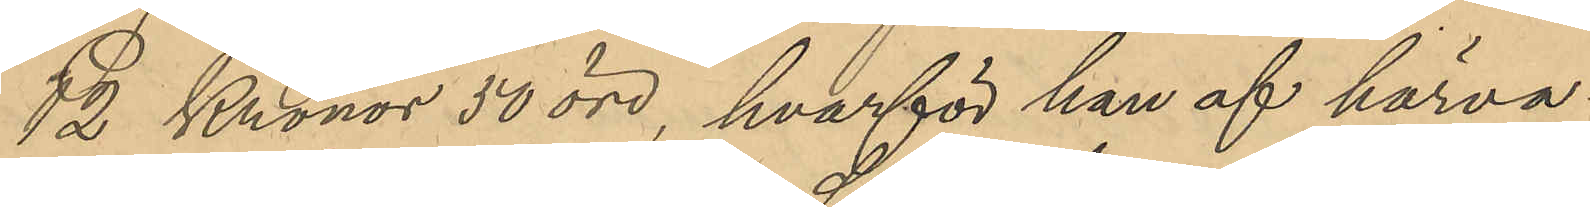12 Kronor 50 öre, hvarför han af härva¬
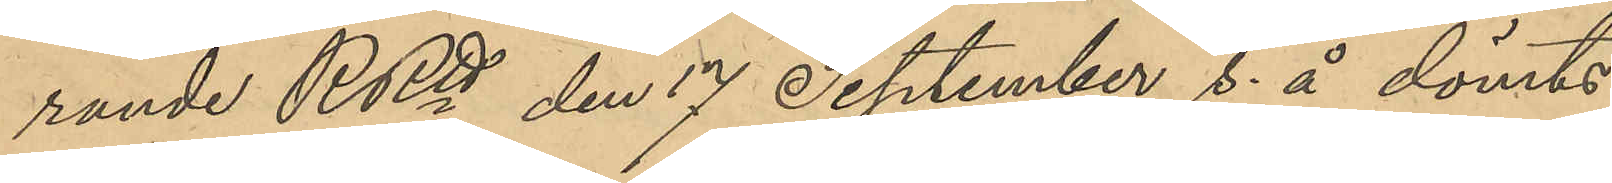rande RRtt den 17 September s. å. dömts
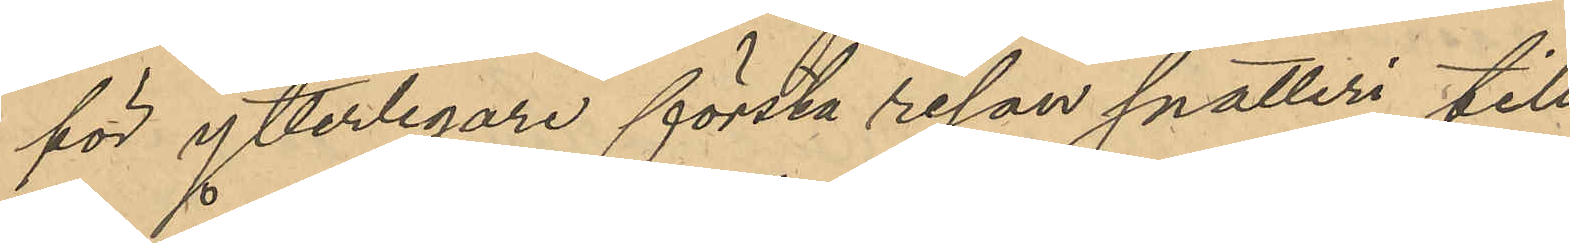för ytterligare första resan snatteri till
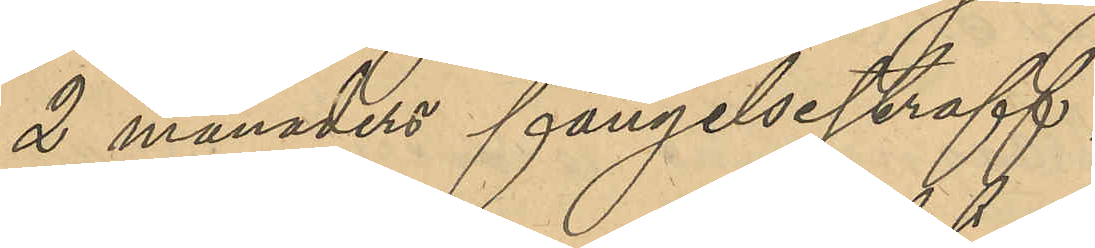2 månaders färngelsestraff;
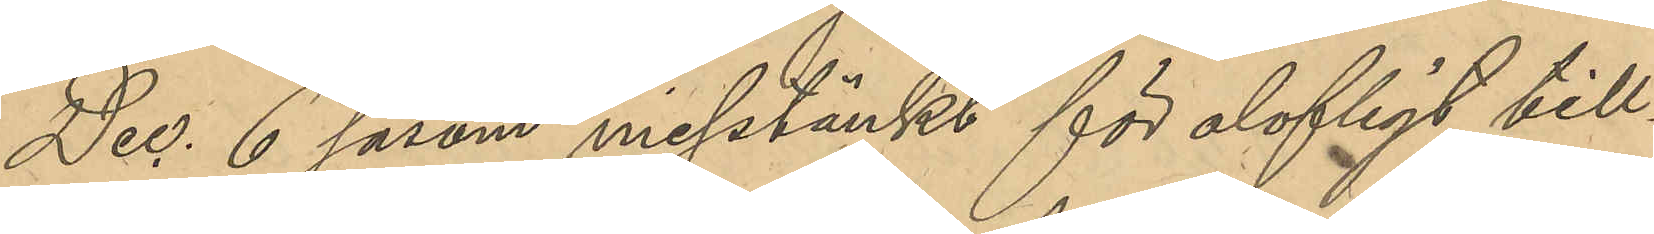" Dec. 6 såsom misstänkt för olagligt till¬
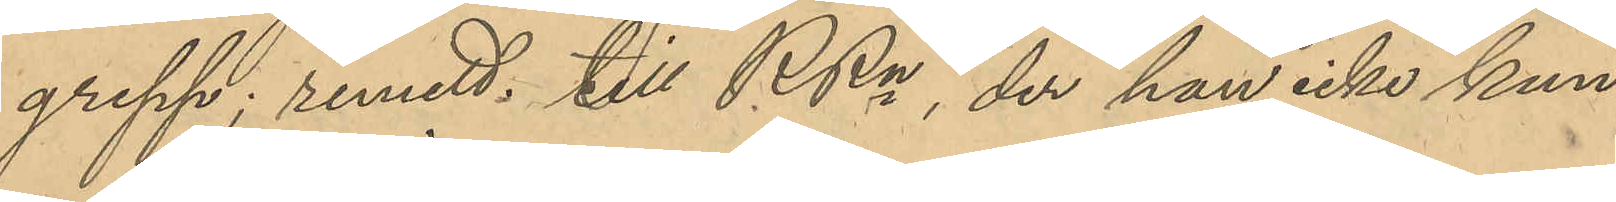grepp; remitt. till RRn, der han icke kun¬
